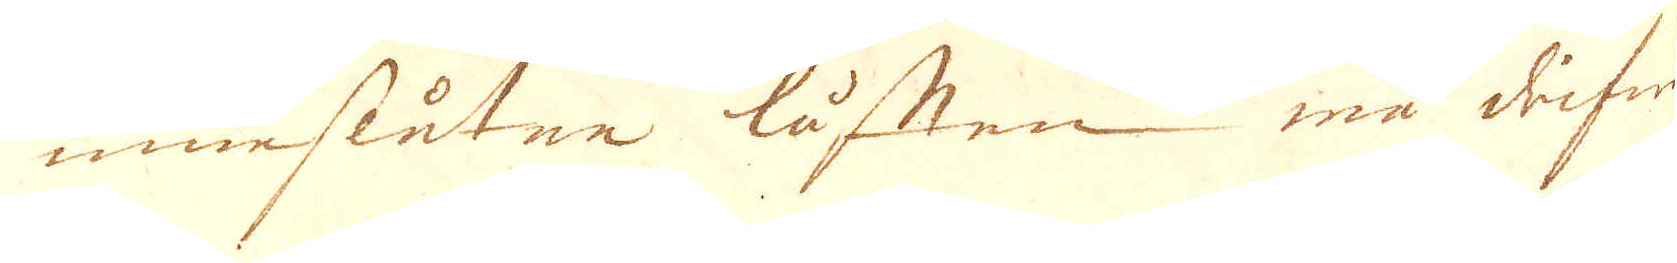inneslutne luften må drifwa
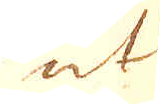ut
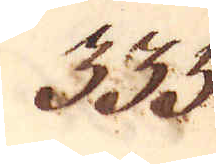335.
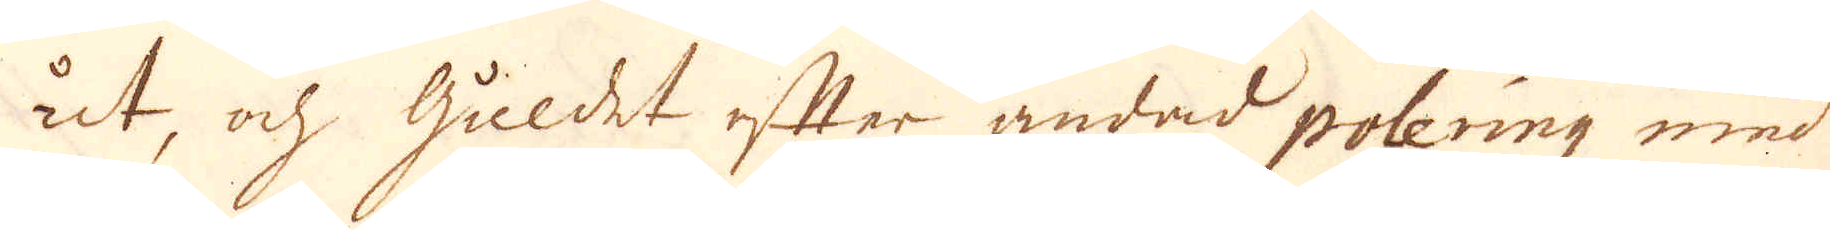ut, och Guldet efter ändad polering med
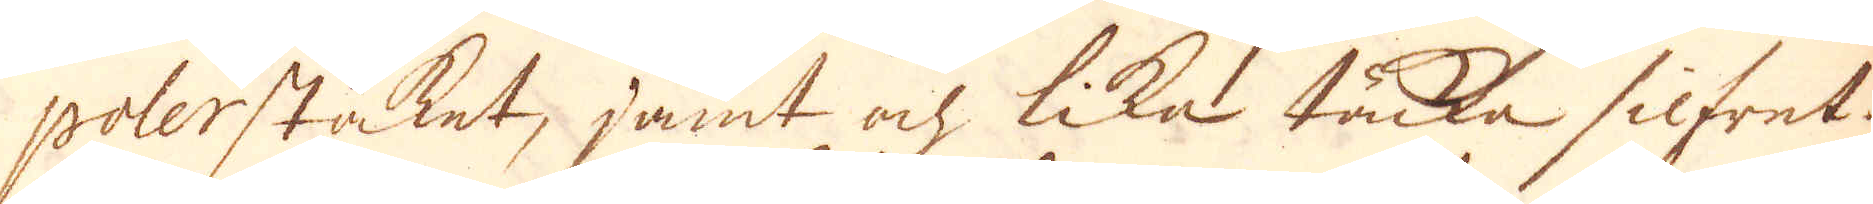polerstaket, jämt och lika täcka silfret.
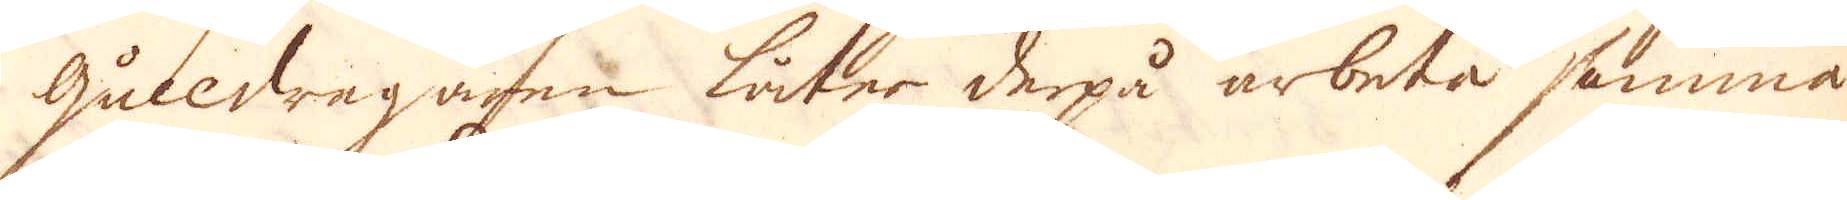Gulldragaren läter derpå arbeta samma
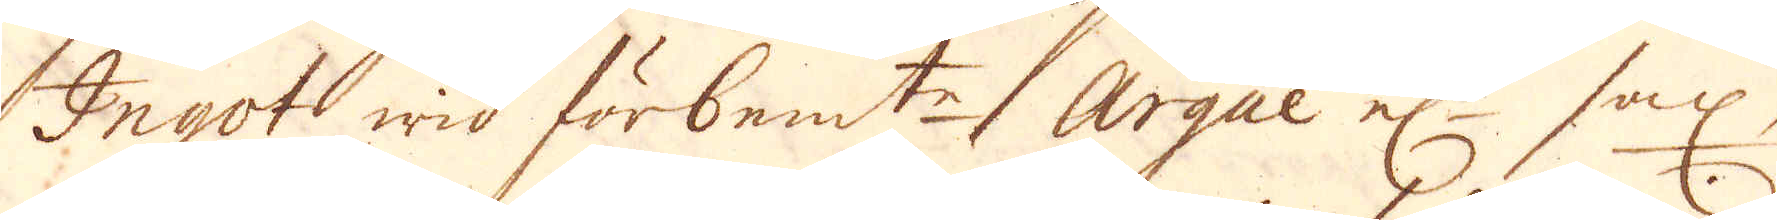Ingot wid förbem:te Argue el:r sax,
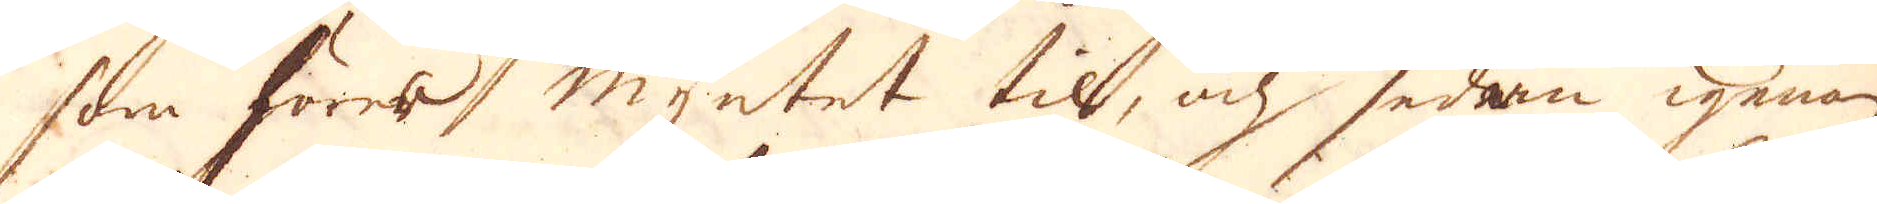som forma myntet til, och sedan igenom
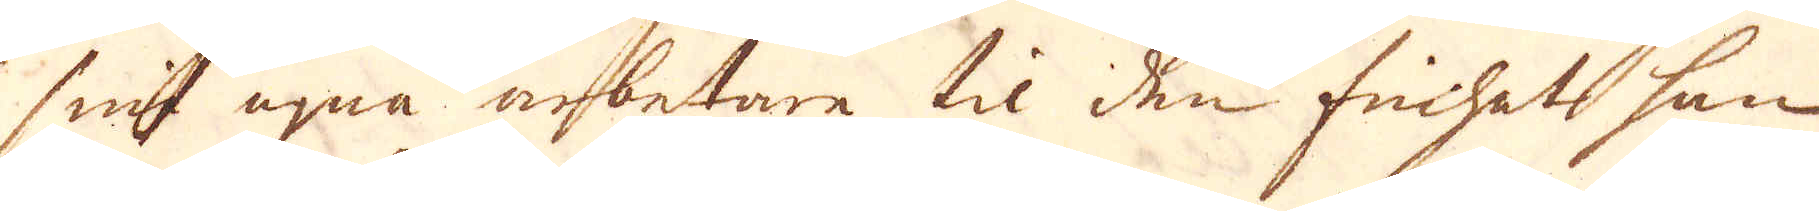sina egna arbetare til den frihet han
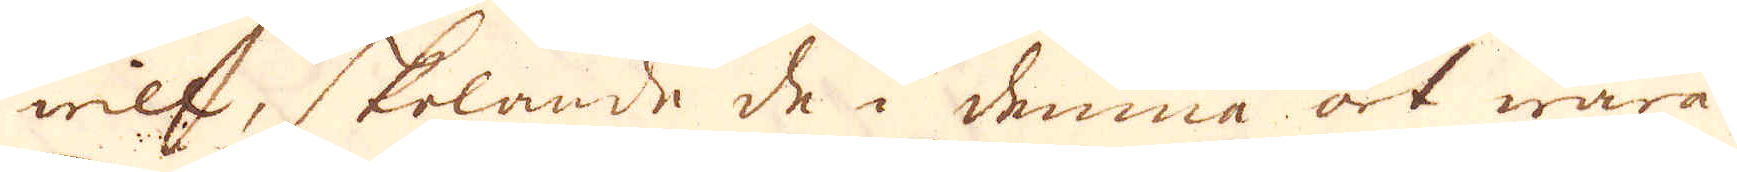will, skolande de i denna art wara
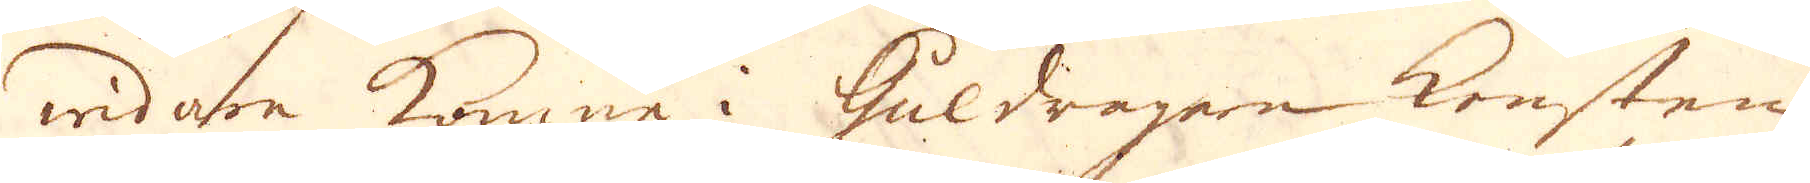widare komne i Guldragare Konsten
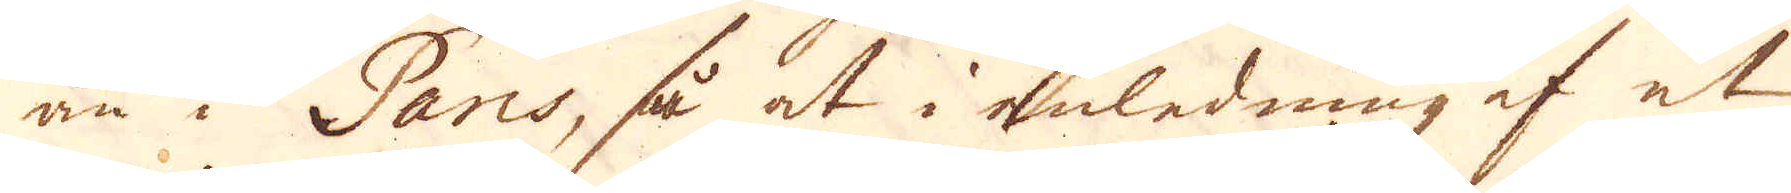än i Paris, så at i anledning af et
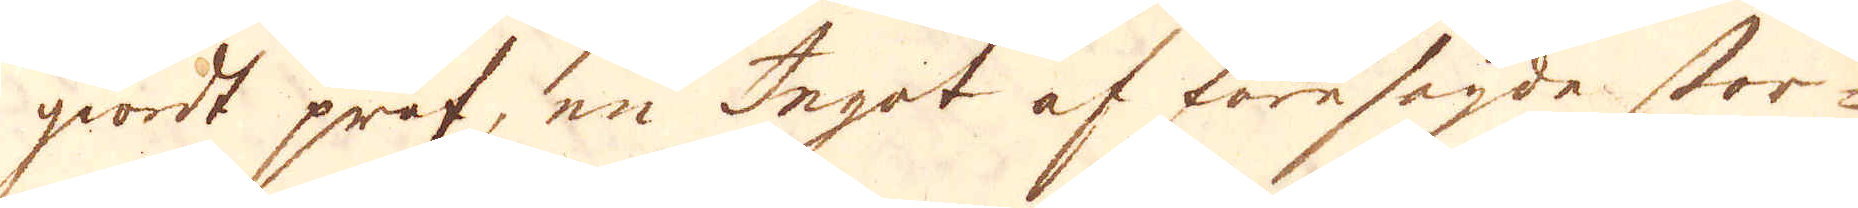giordt prof, en Ingot af föresagde stor-
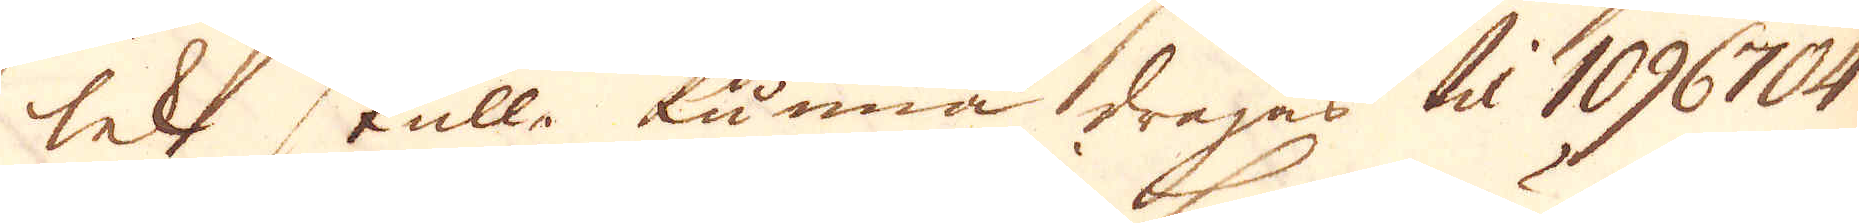lek skulle kunna dragas til 1096704
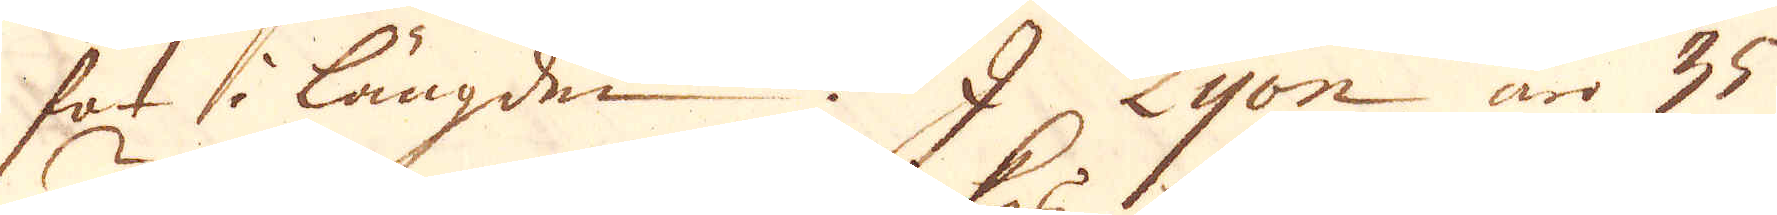fot i längden.  I Lyon är 35
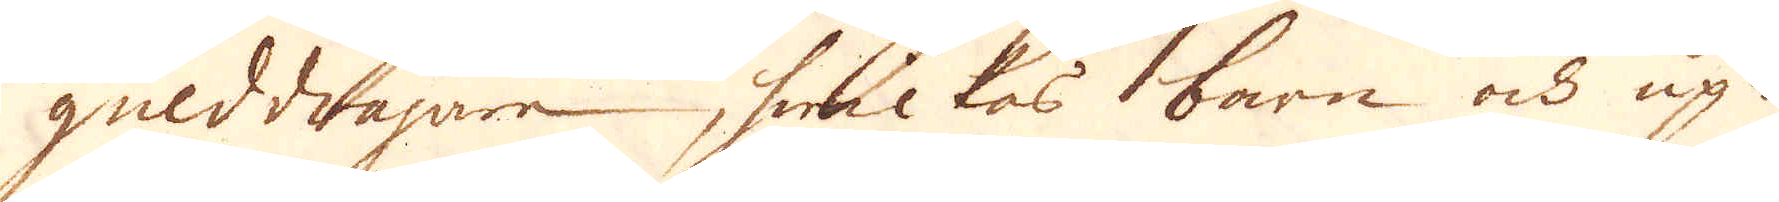gulddragare, hwilkas barn och up-
